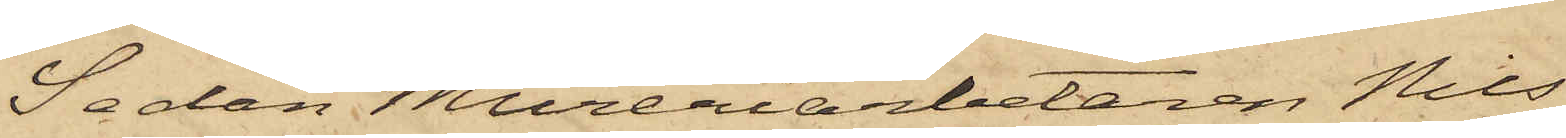Sedan Mureriarbetaren Nils
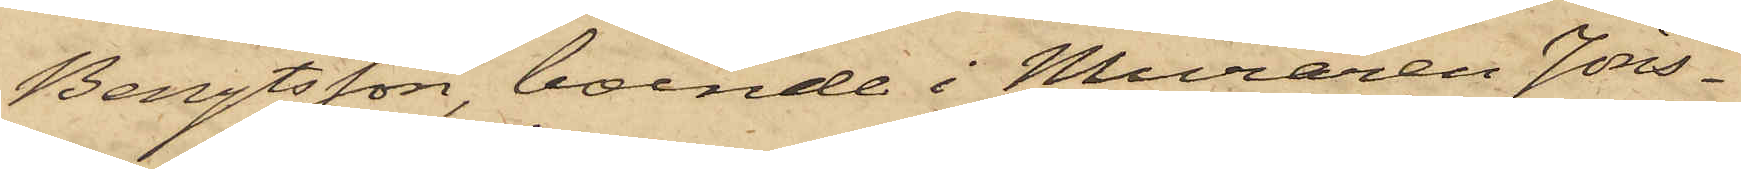Bengtsson, boende i Muraren Jöns¬
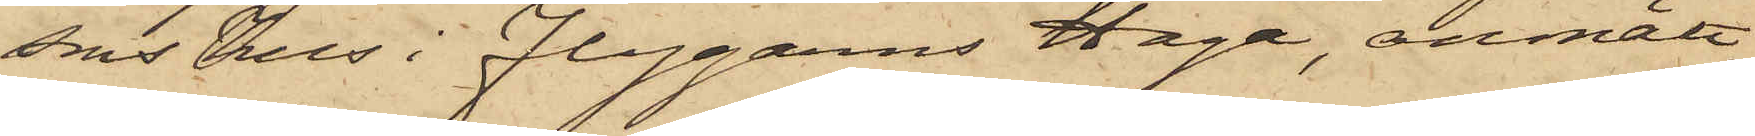sons hus i Flygarns Haga, anmält,
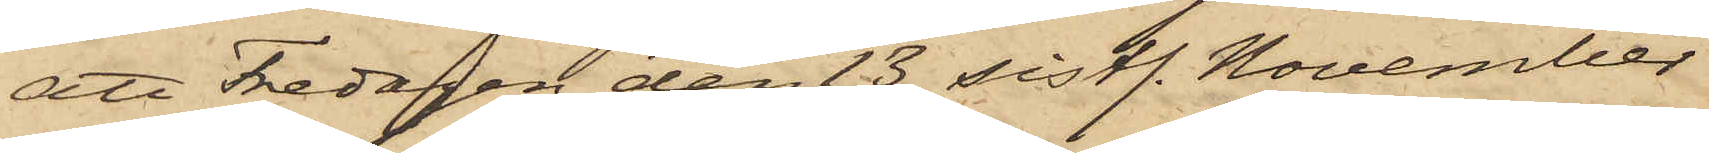att Fredagen den 13 sistl. November
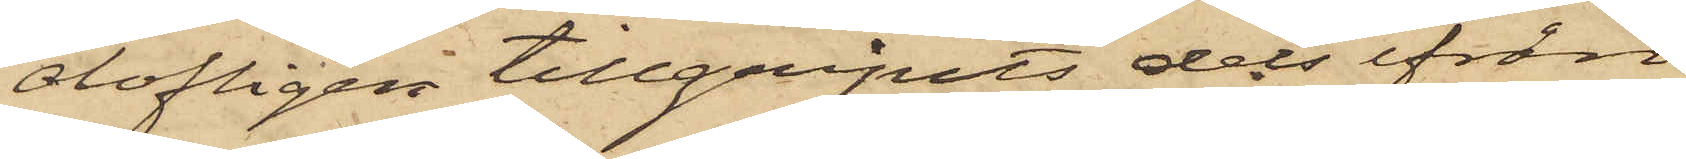olofligen tillgripits dels ifrån
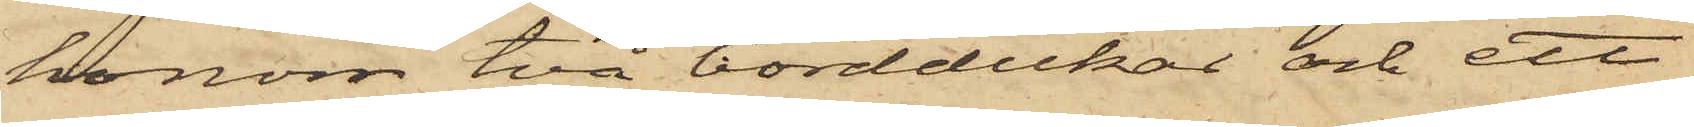honom två borddukar och ett
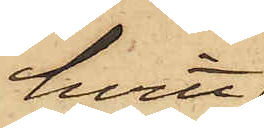hvitt
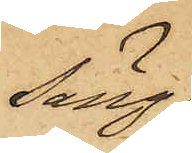säng¬
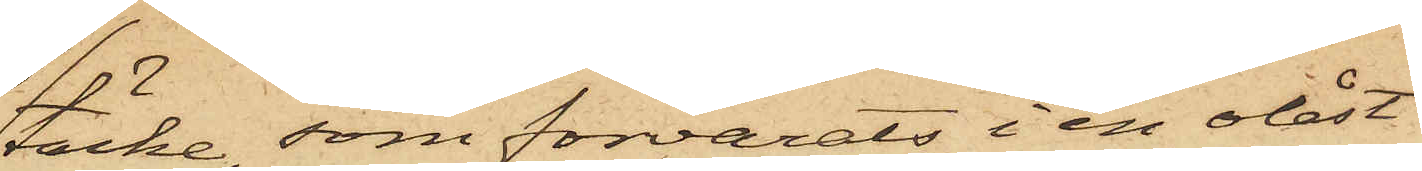täcke, som förvarats i en olåst
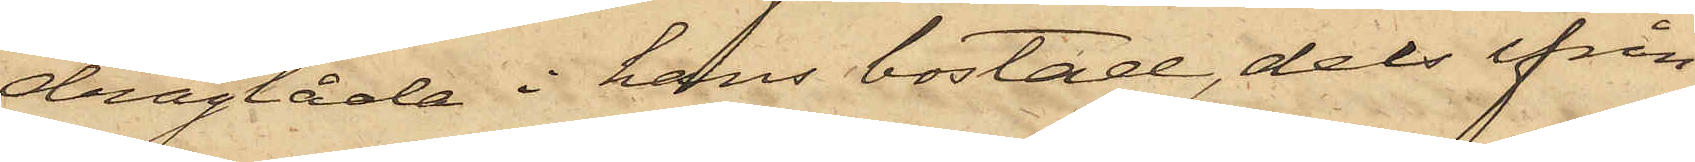draglåda i hans bostad, dels ifrån
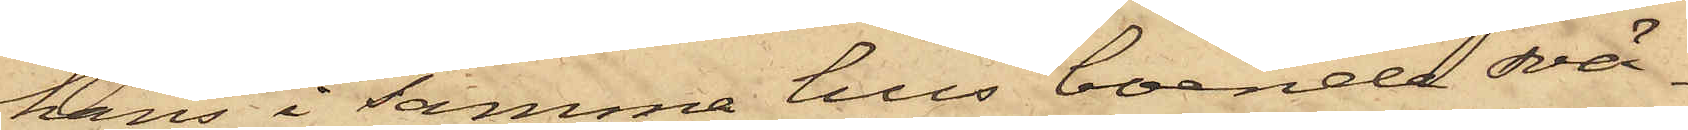hans i samma hus boende svä¬
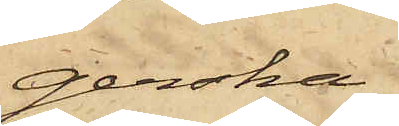gerska
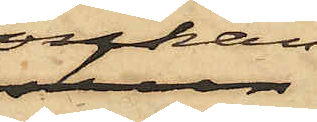Enkan
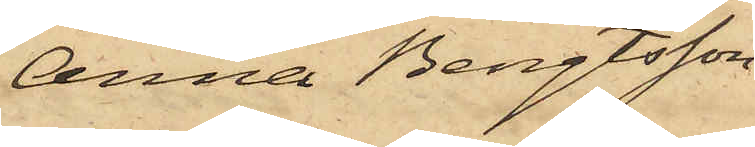Anna Bengtsson
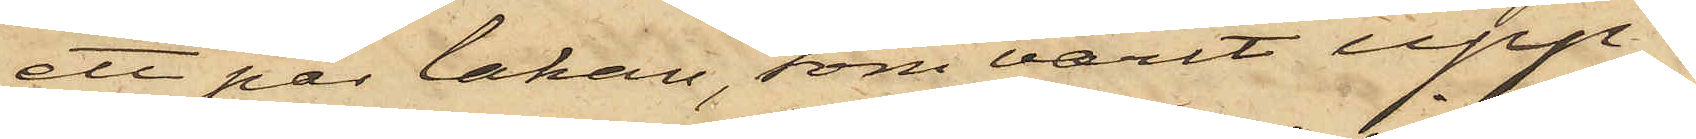ett par lakan, som varit upp¬
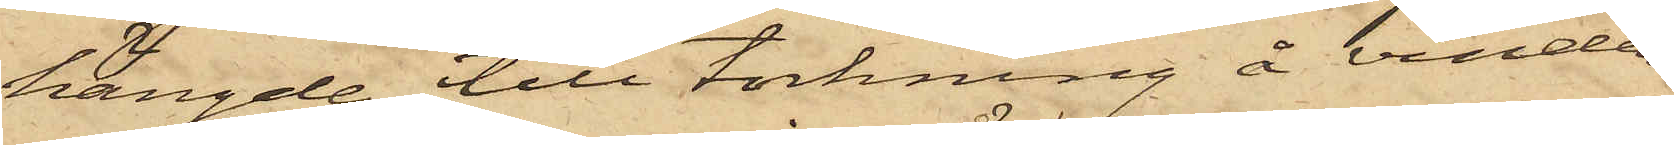hängde till torkning å vinden,
